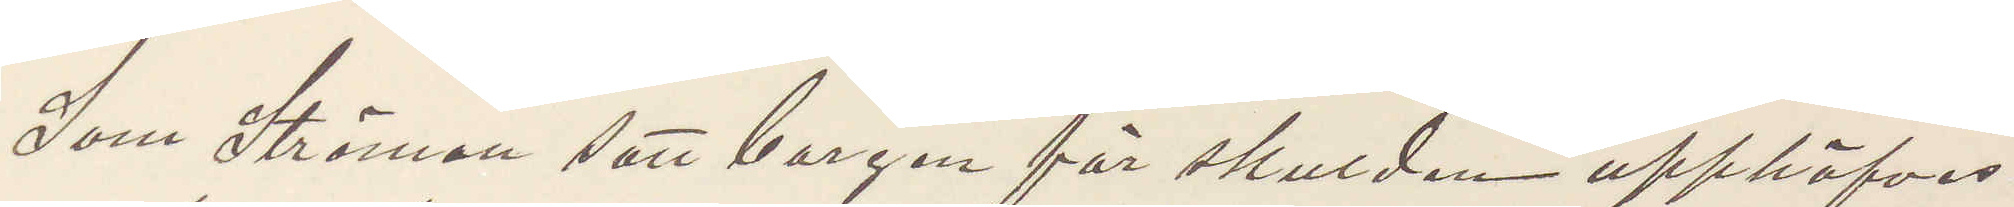Som Ströman satt borgen för skulden upphäfvas
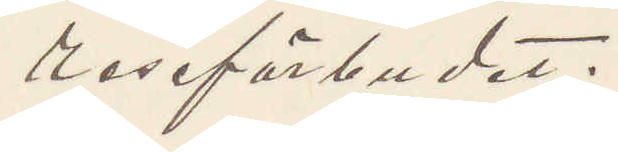reseförbudet.
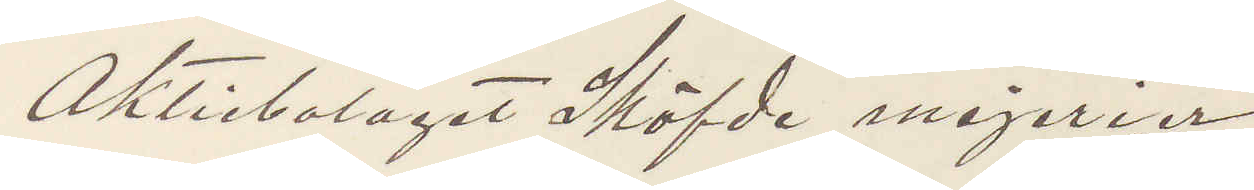Aktiebolaget Sköfde mejerier
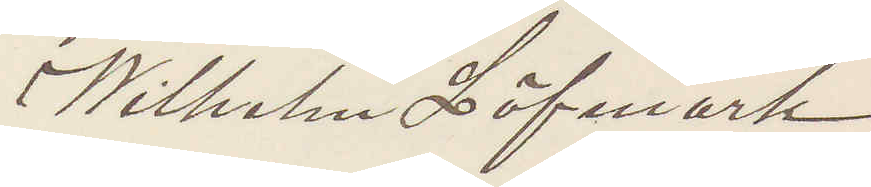Wilhelm Löfmark.
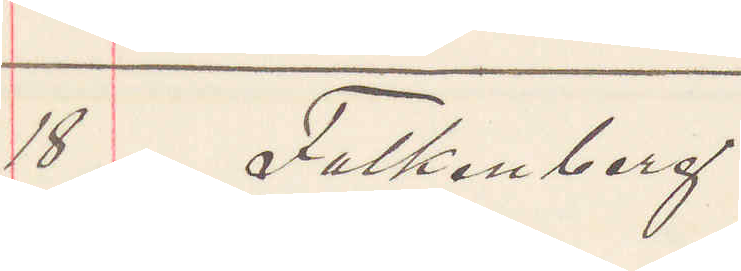18 Falkenberg.
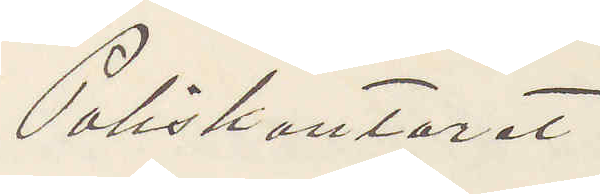Poliskontoret
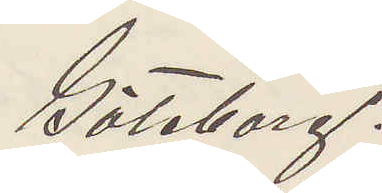Göteborg.
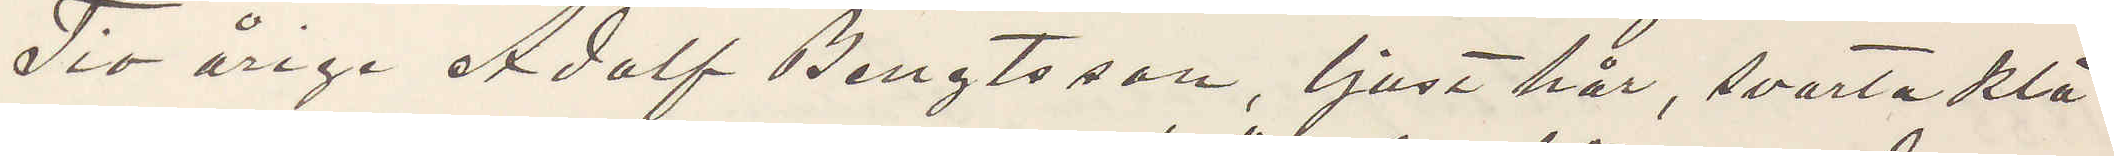Tio årige Adolf Bengtsson, ljust hår, svarta klä¬
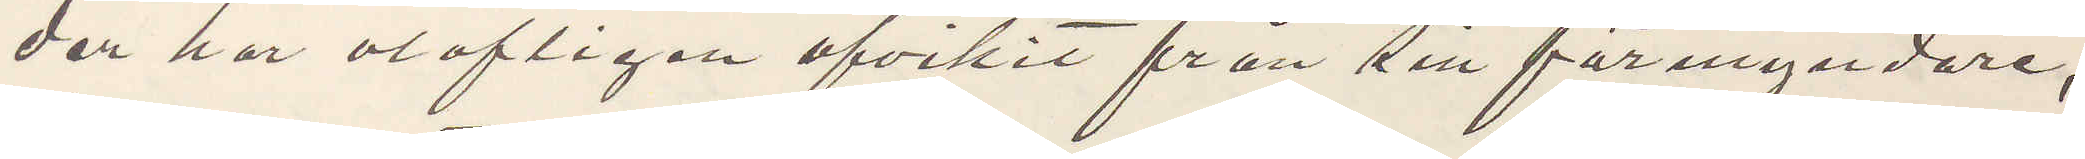der har olofligen afvikit från sin förmyndare,
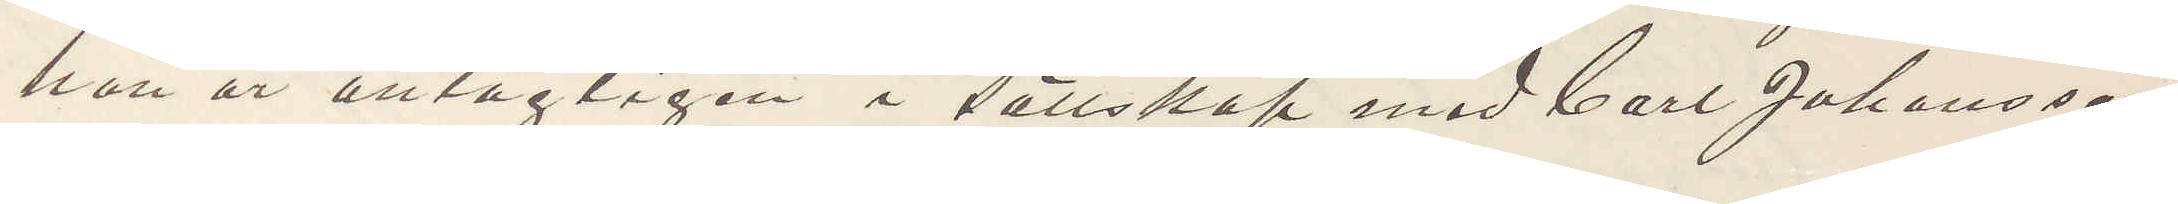han är antagligen i sällskap med Carl Johansson
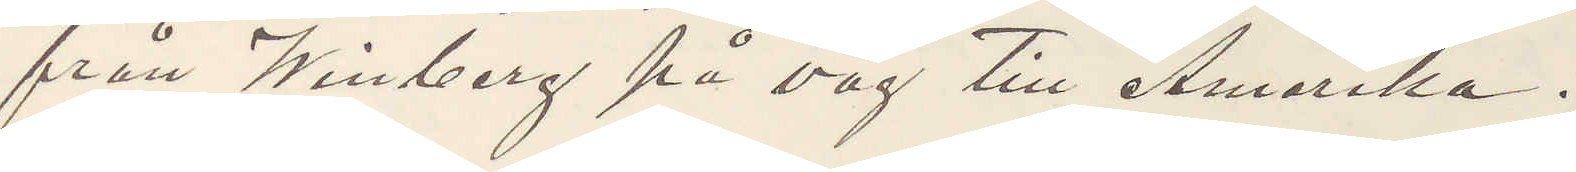från Winberg på väg till Amerika.
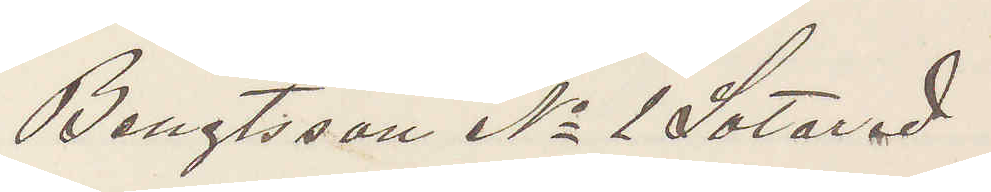Bengtsson No 1 Sotared
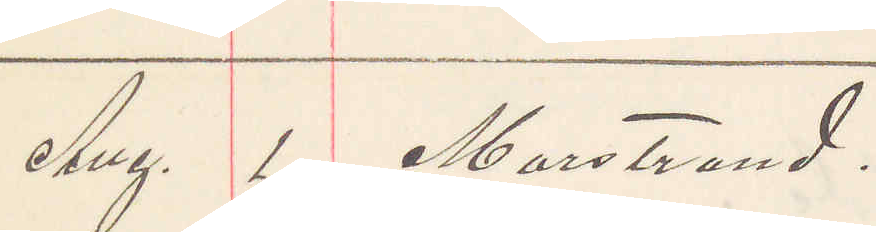Aug. 1 Marstrand
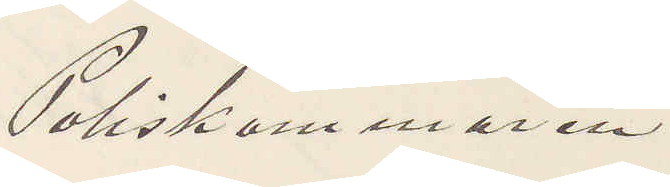Poliskammaren
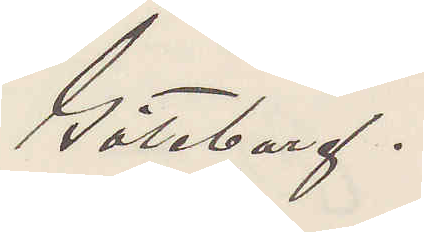Göteborg.
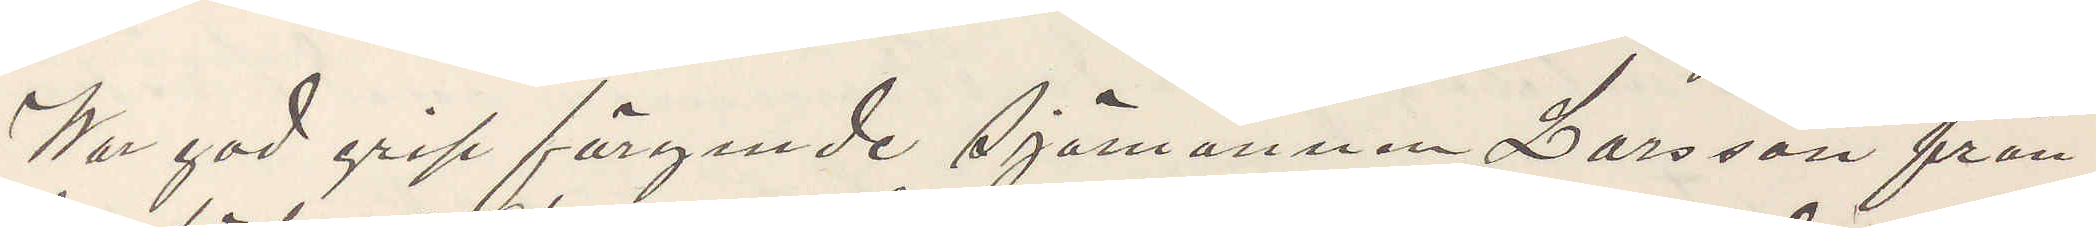War god grip förgende Sjömannen Larsson från
